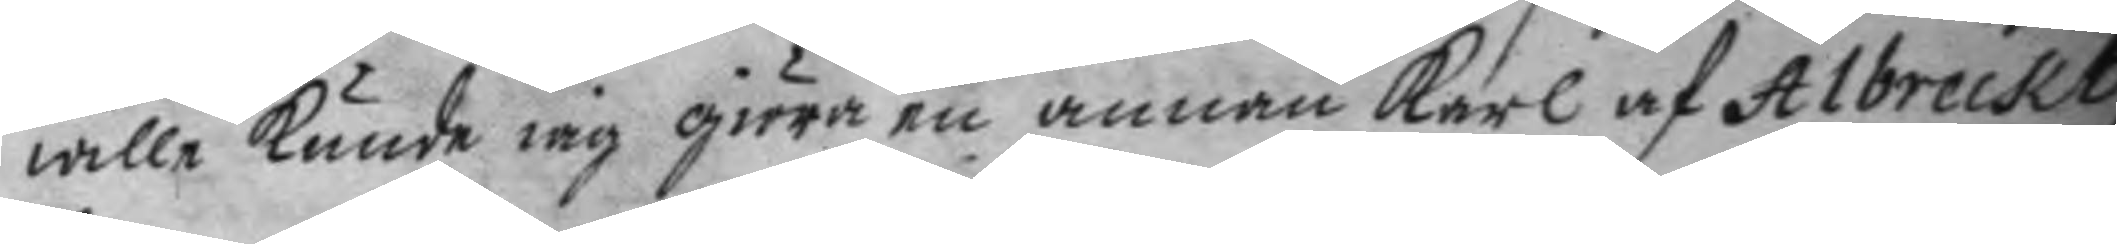wille kunde iag giöra en annan karl af Albreckt,
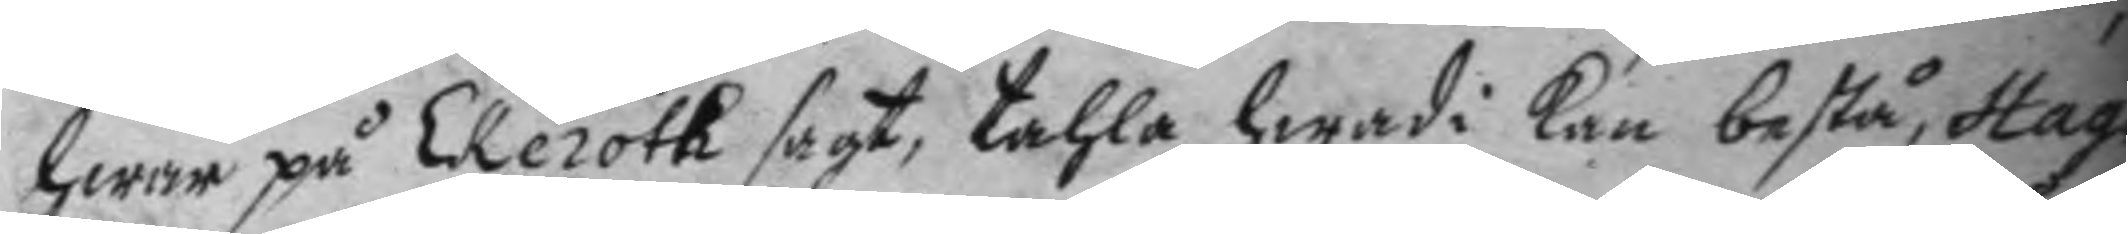hwar på ekeroth sagt, tahla hwad i kan bestå, Hag¬
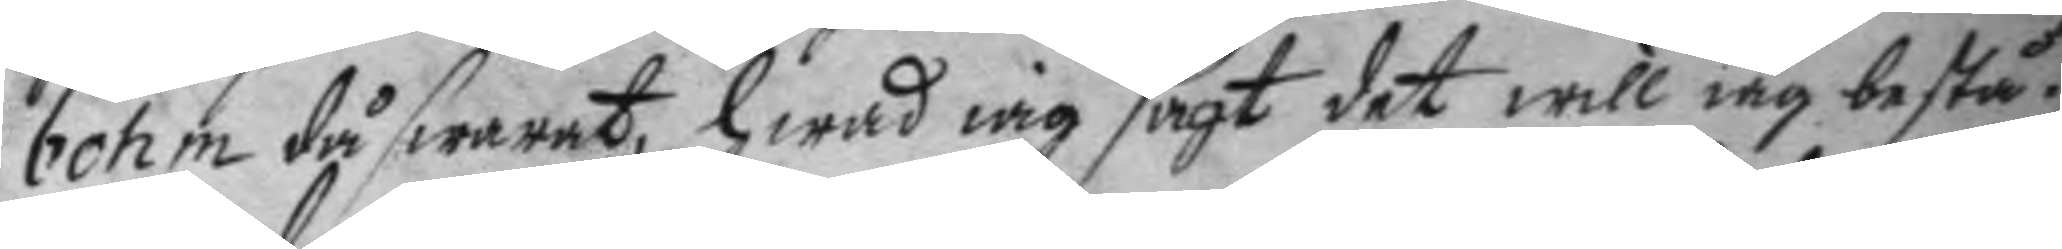bohm då swarat, hwad iag sagt det will iag bestå.
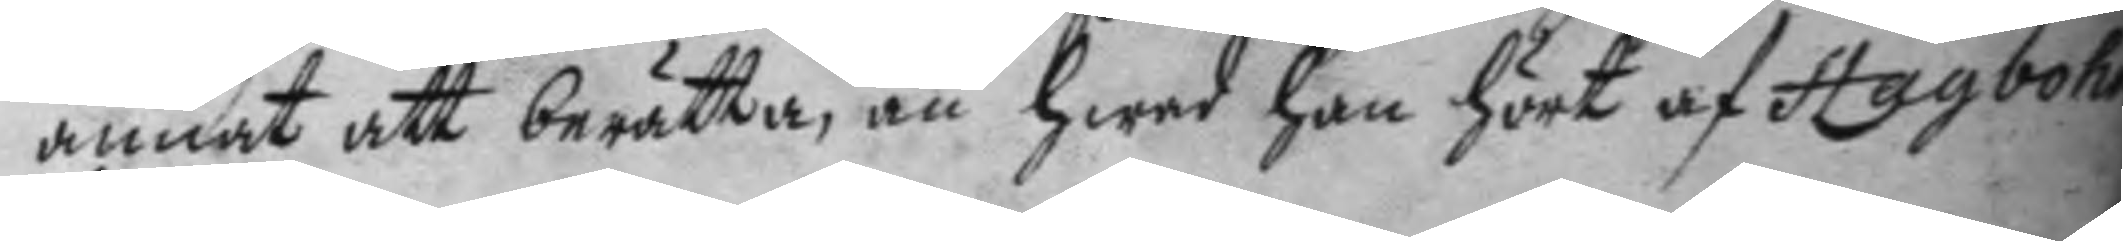annat att berätta, än hwad han hört af Hagbohm
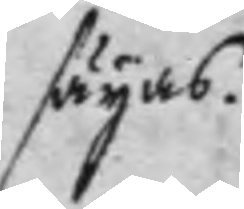säyas.
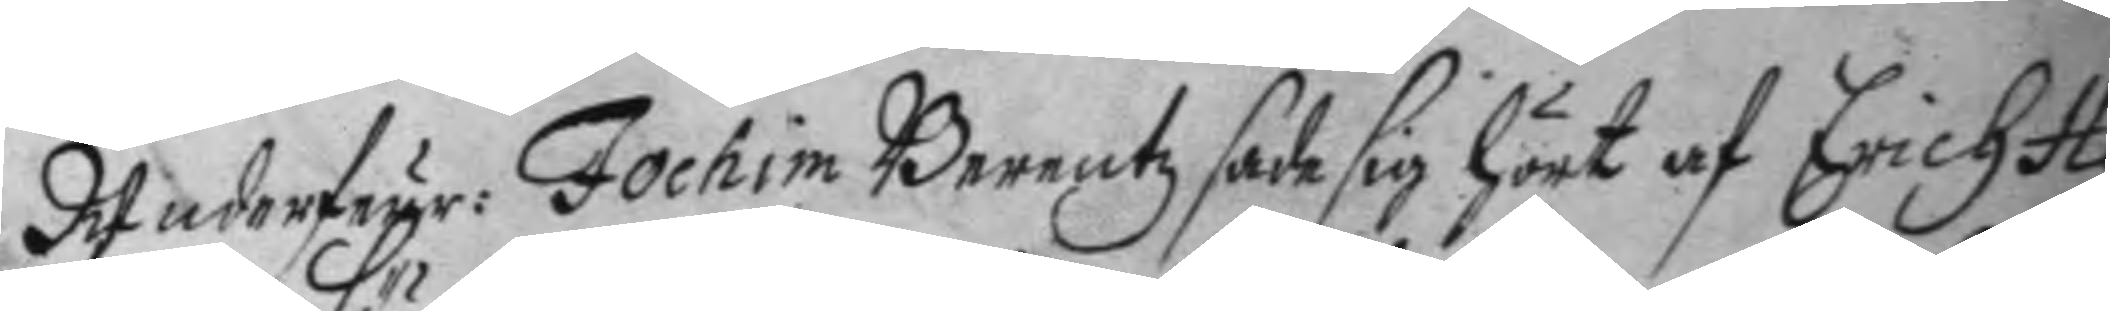Underfeyr: Jochim Berentz sade sig hört af Erich Hag¬
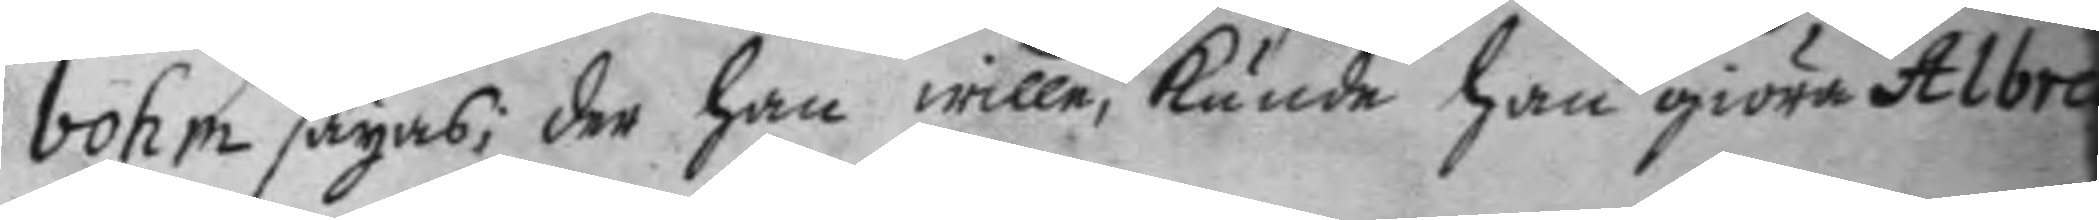bohm sägas; der han wille, kunde han giöra Albreck
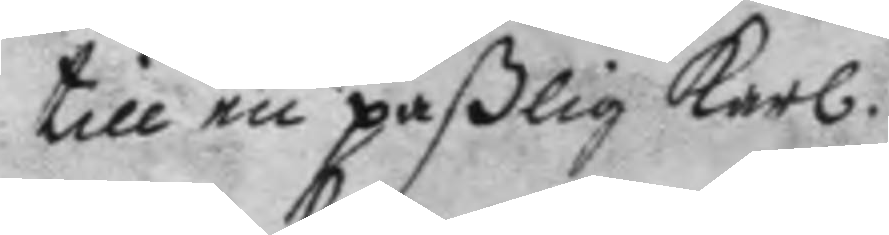till en paßlig karl.
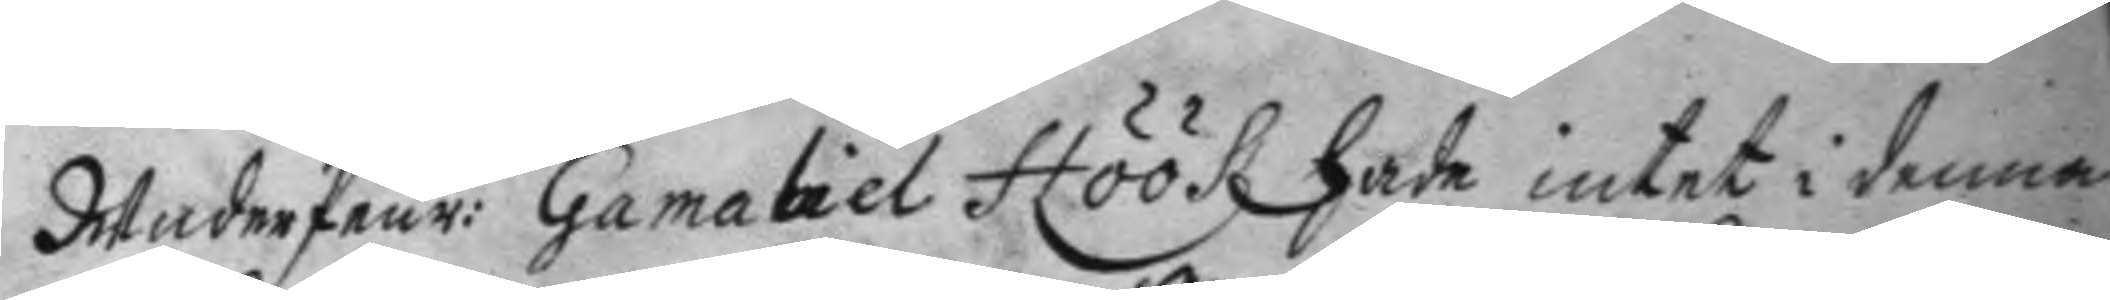Underfeur: Gamaliel Höökz hade intet i denna
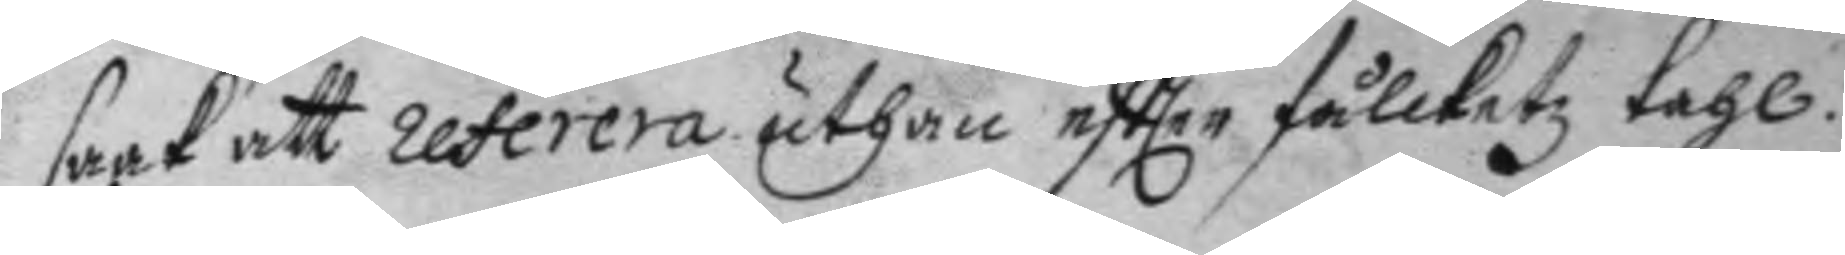saak att restera uthan eftter fållketz tahl.
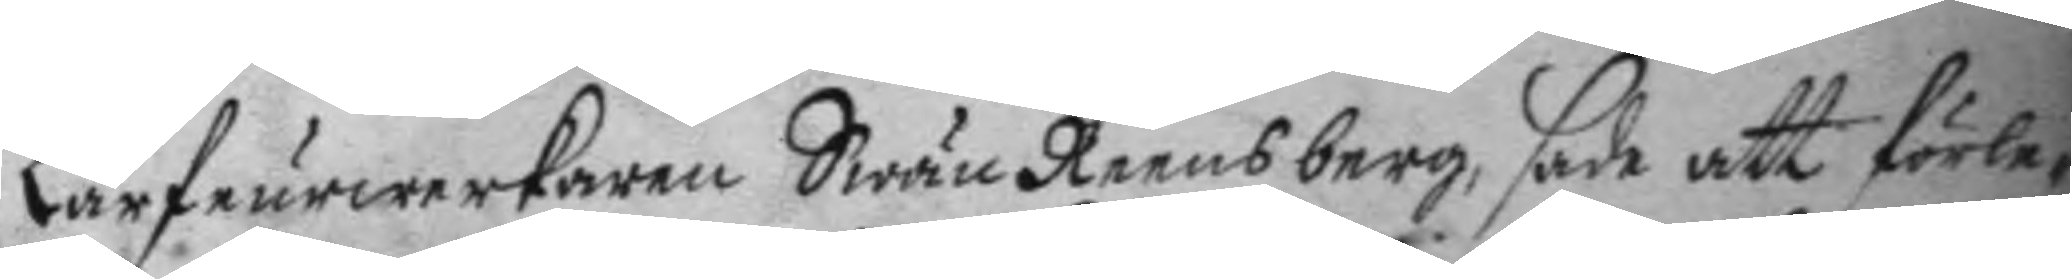Lähfeurwerkaren Swän Reensberg, sade att förle¬
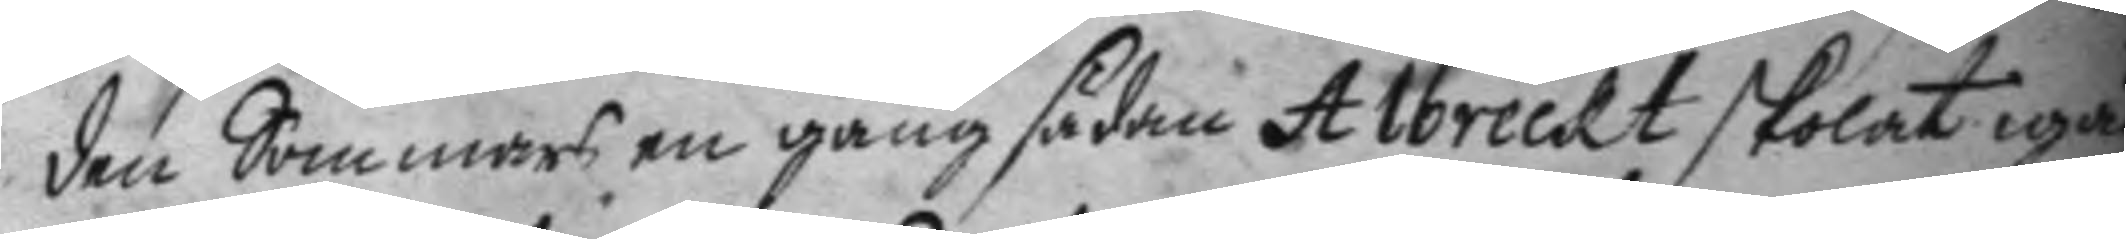den Sommars en gång sådan Albreckt skolat igän
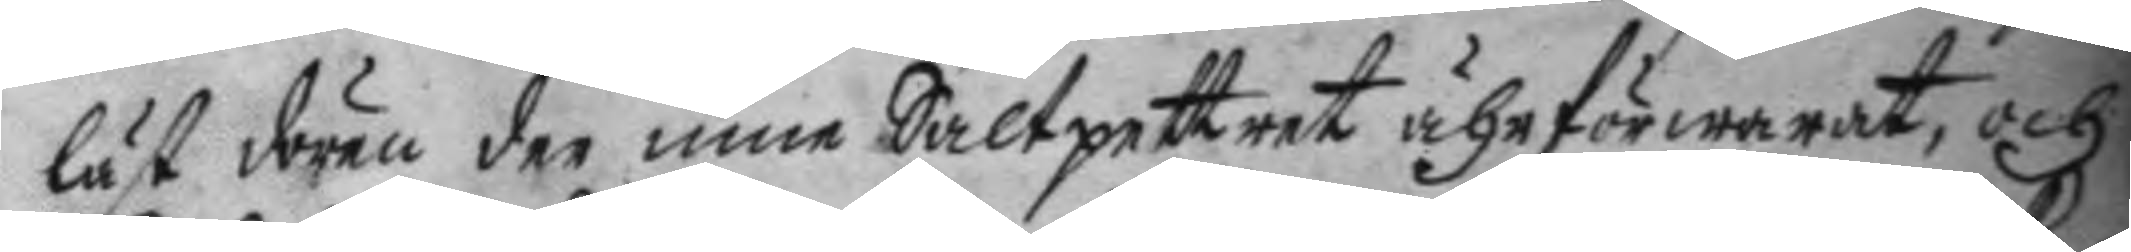låst dören der inne Saltpettret ähr förwarat, och
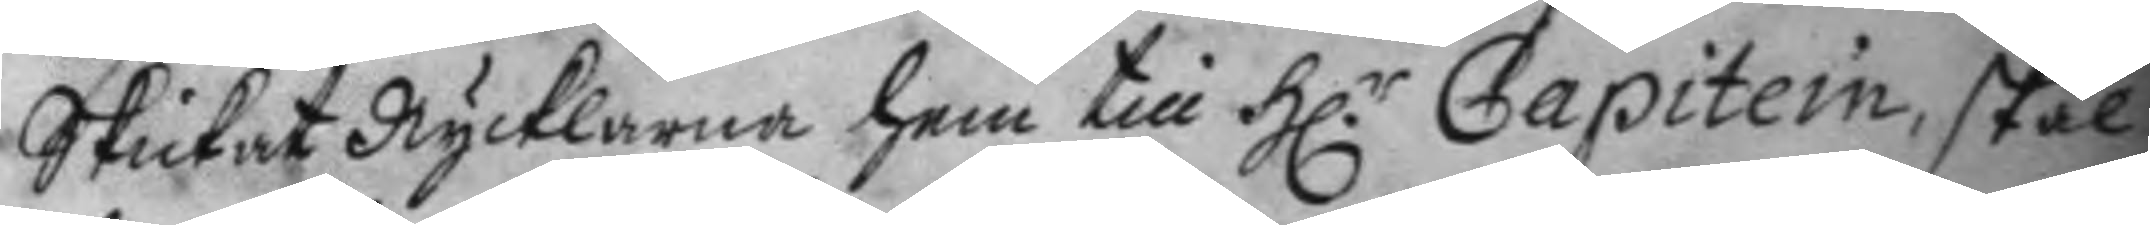Skickat Nycklarna hem till H.r Capitein, skal
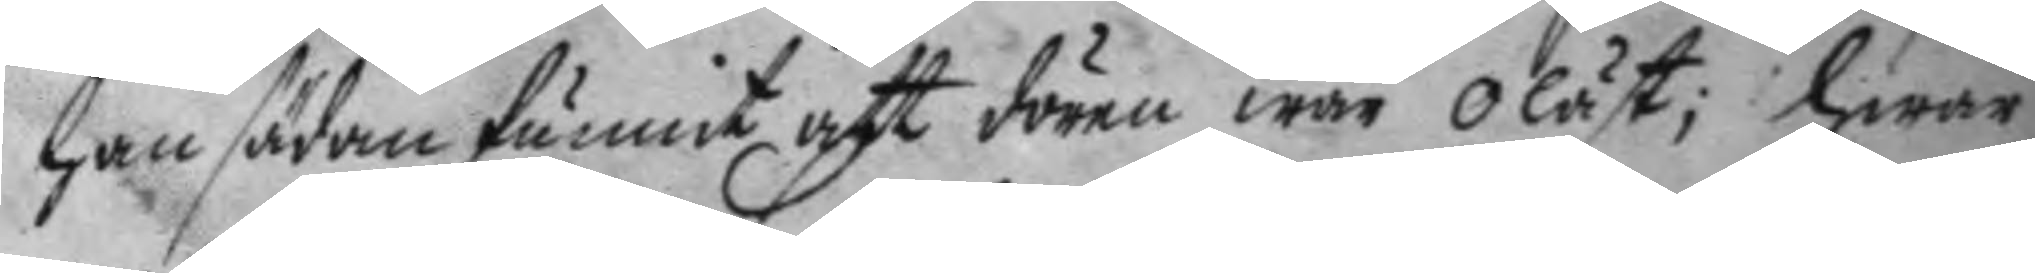han sädan funnit att dören war olåst; hwar
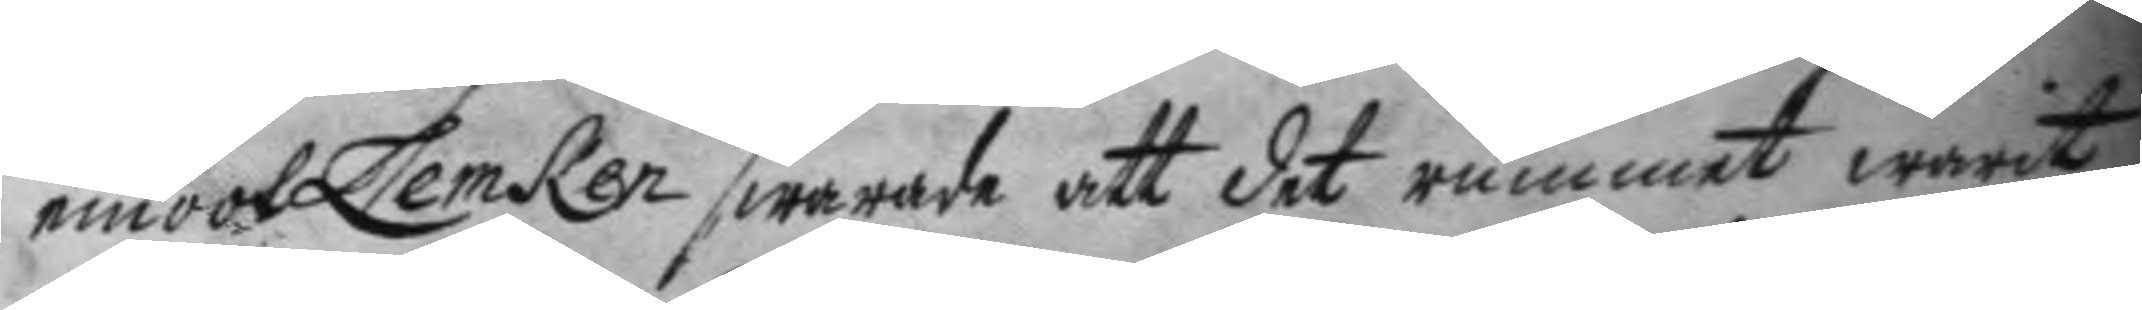emoot Lemken swarade att det rummet warit
